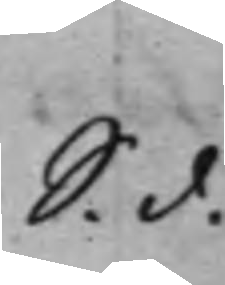S. d.
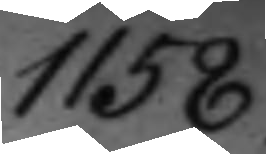1158.
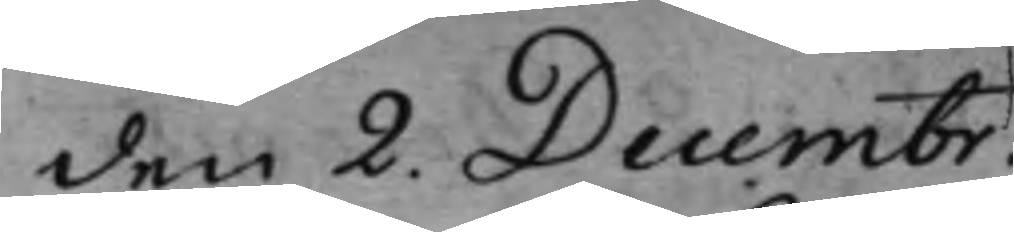den 2. Decembr.
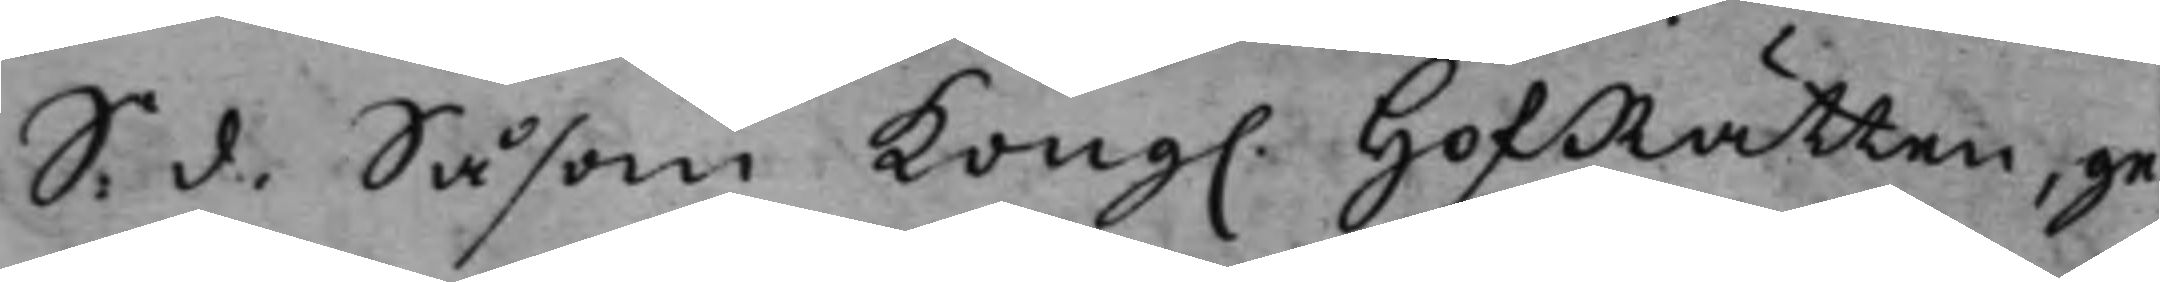S. d. Såsom Kong. HofRätten, ge¬
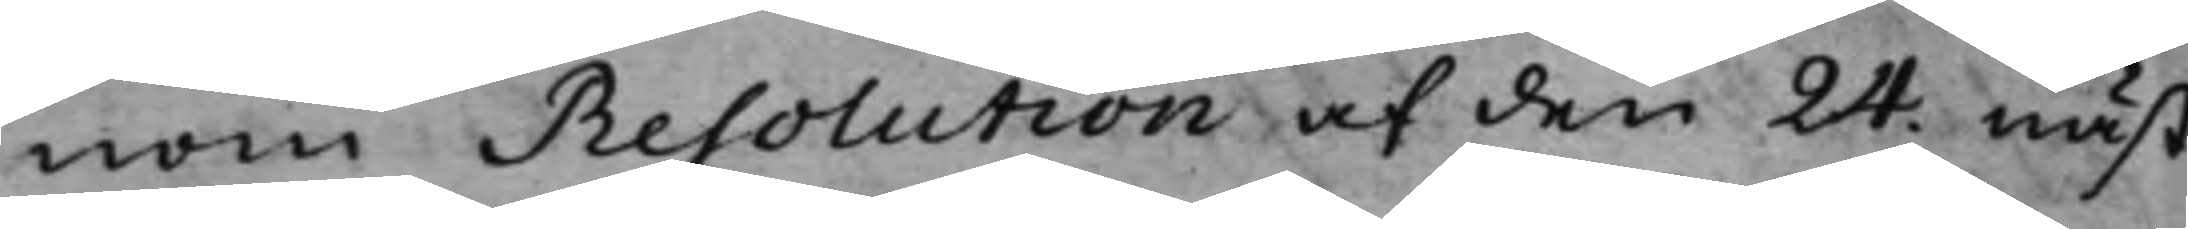nom Resolution af den 24. näst¬
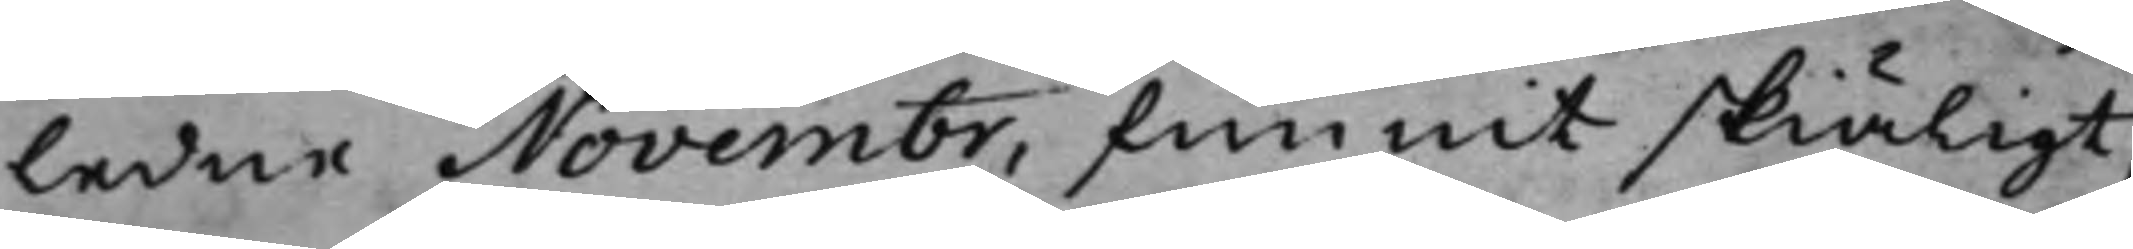ledne Novembr, funnit skiäligt,
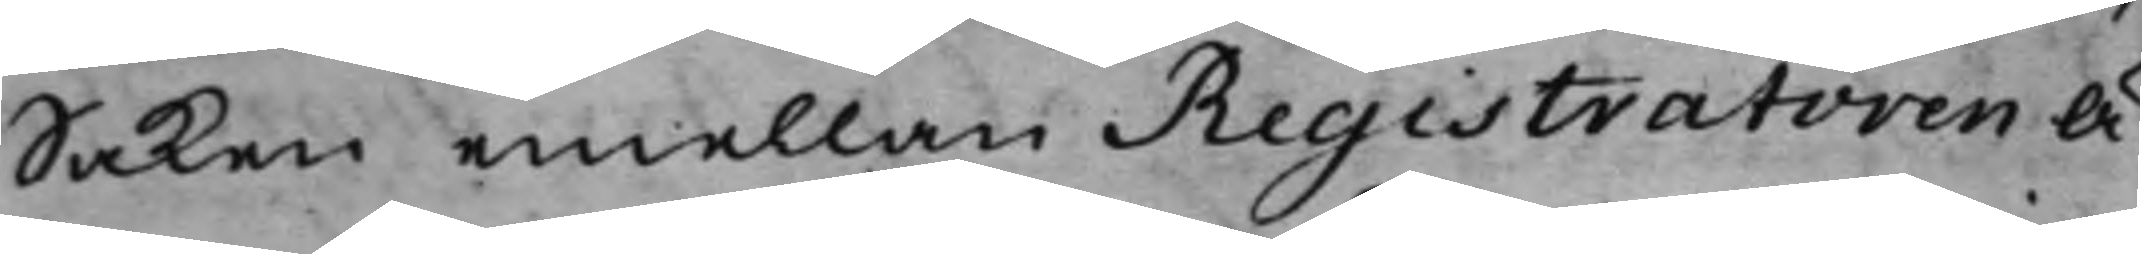Saken emellan Registratoren Ä¬
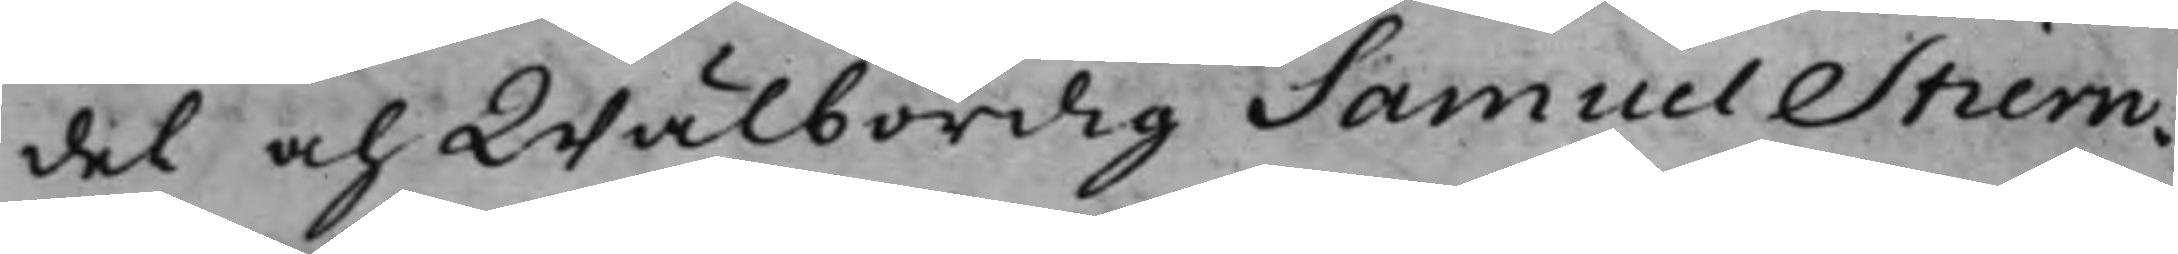del och Wälbördig Samuel Stiern¬
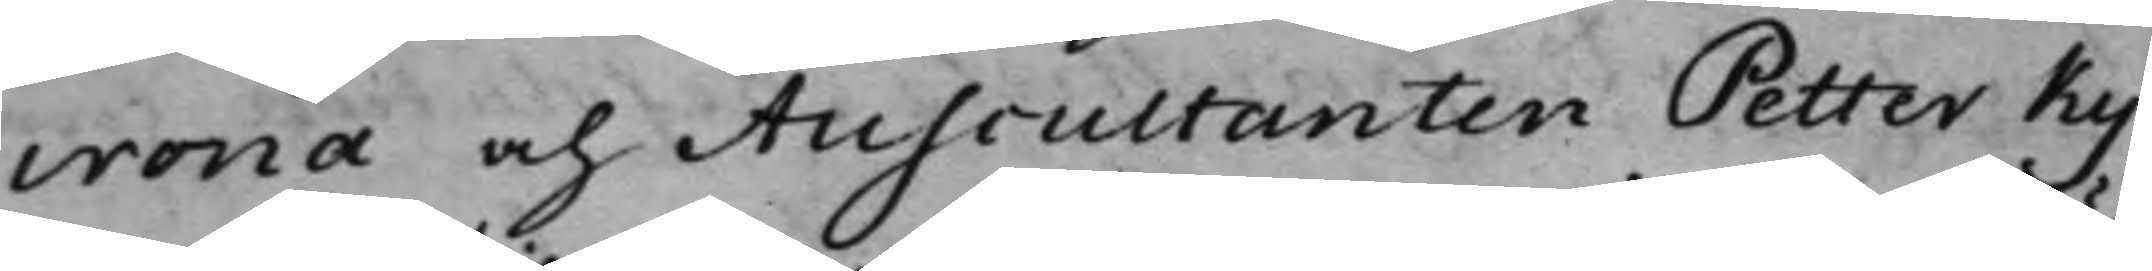crona och Auscultanten Petter Ky¬
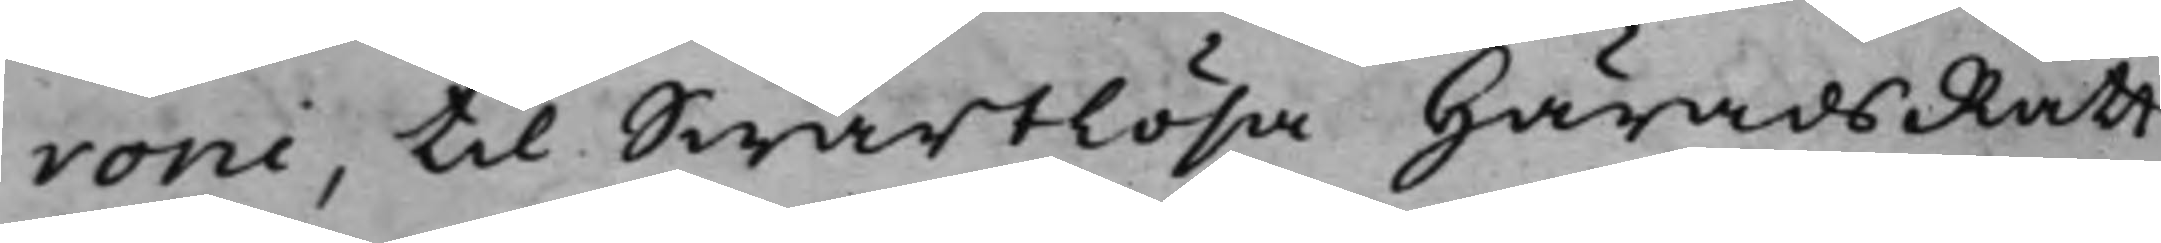roni, till Swartlösa HäradsRätt
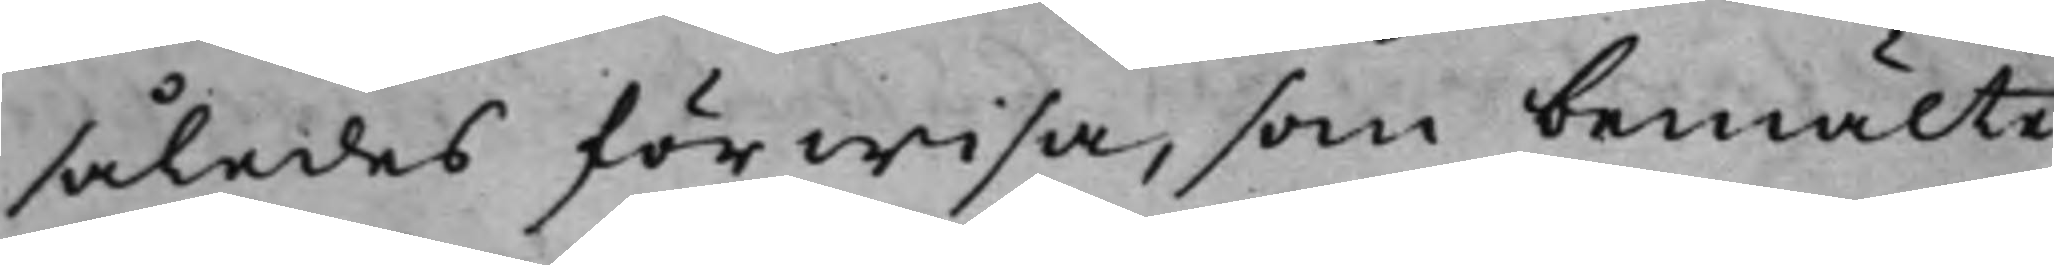således förwisa, som bemälte
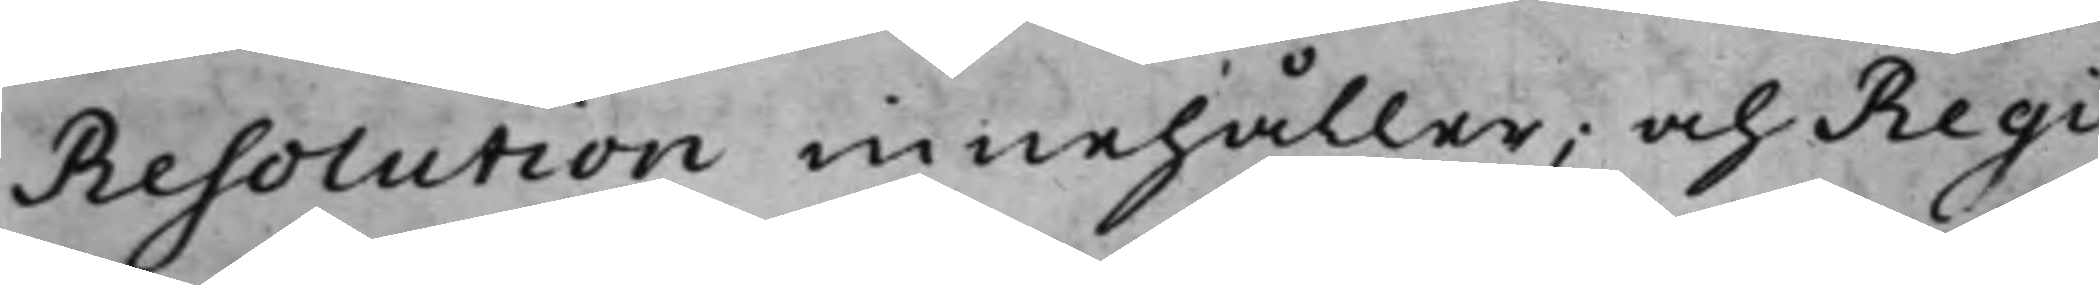Resolution innehåller; och Regi¬
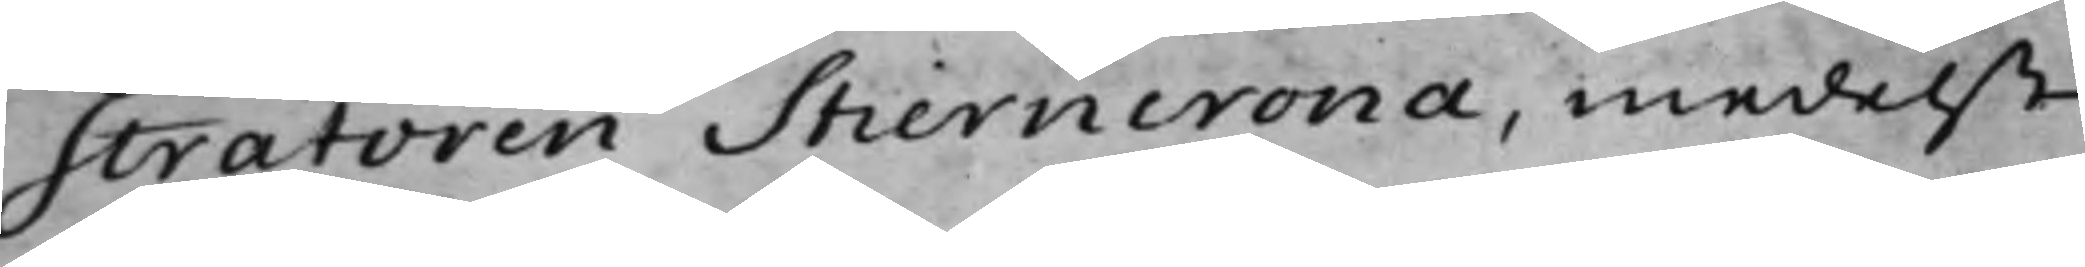stratoren Stierncrona, medelst
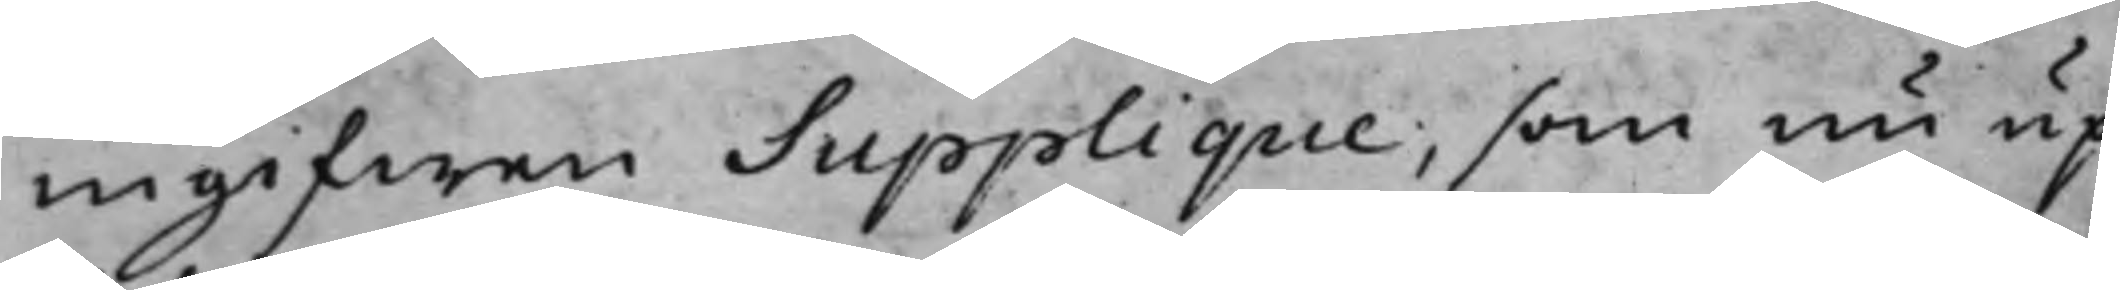ingifwen Supplique, som nu up¬
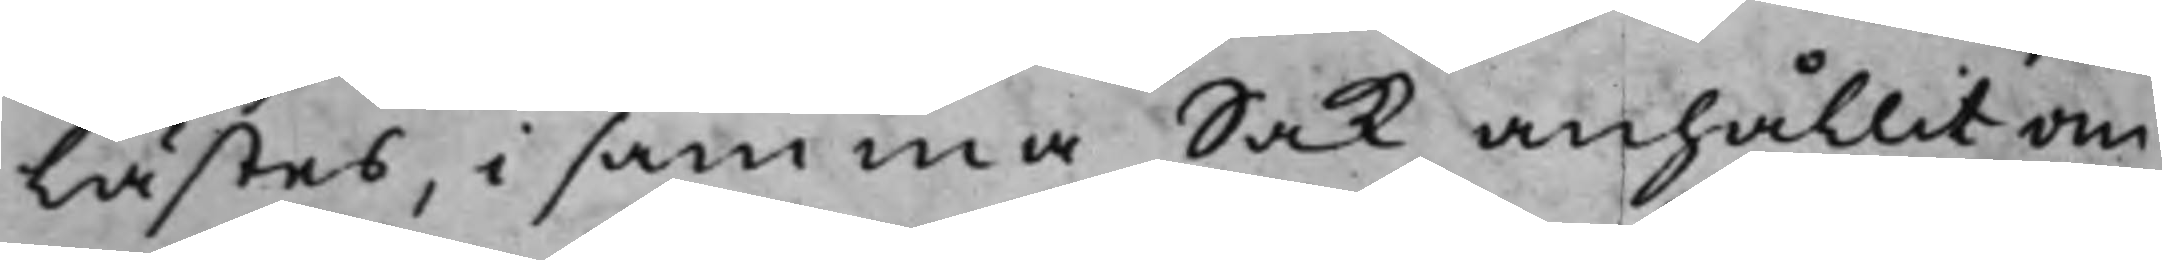lästes, i samma Sak anhållit om
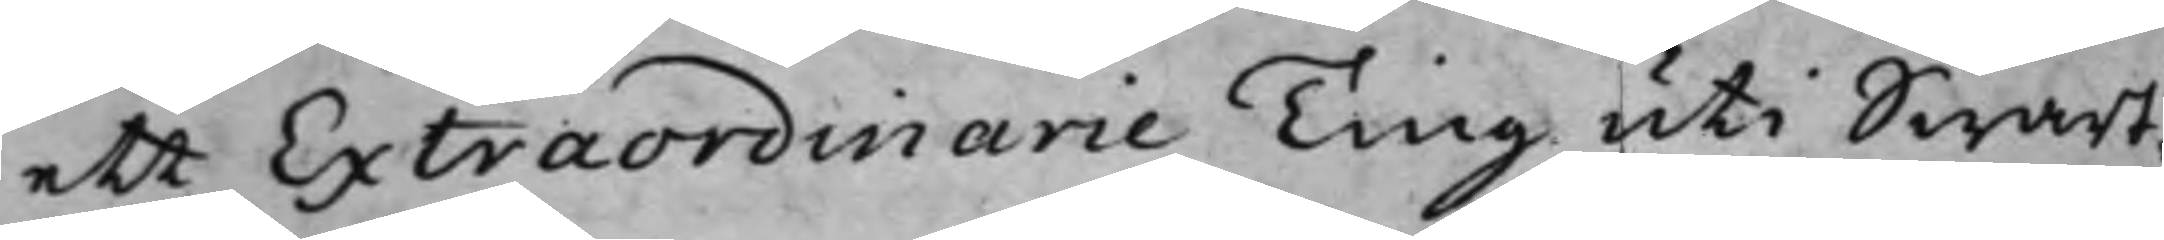ett Extraordinarie Ting uti Swart¬
